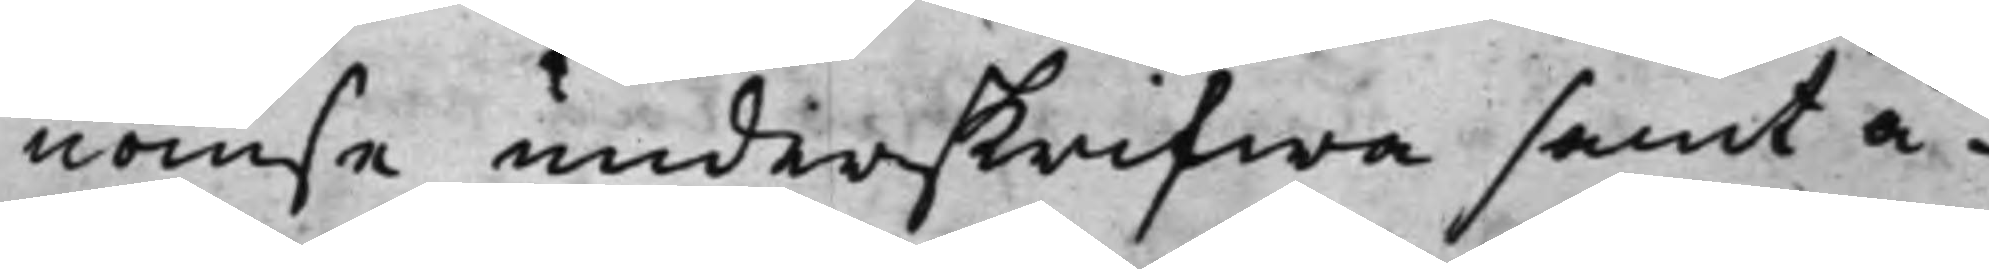nomse underskrifwa samt å¬
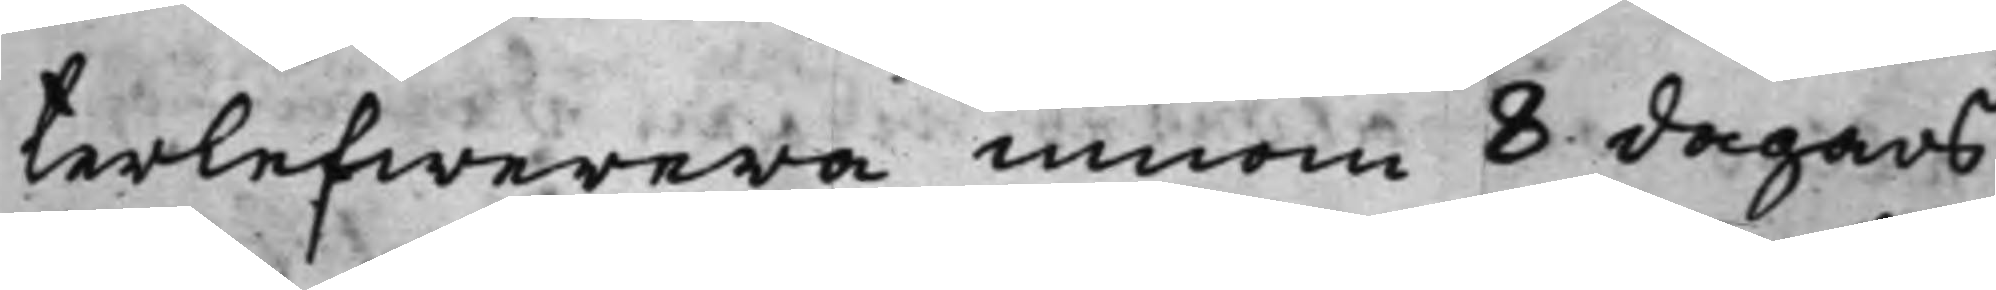terlefwerera innom 8 dagars
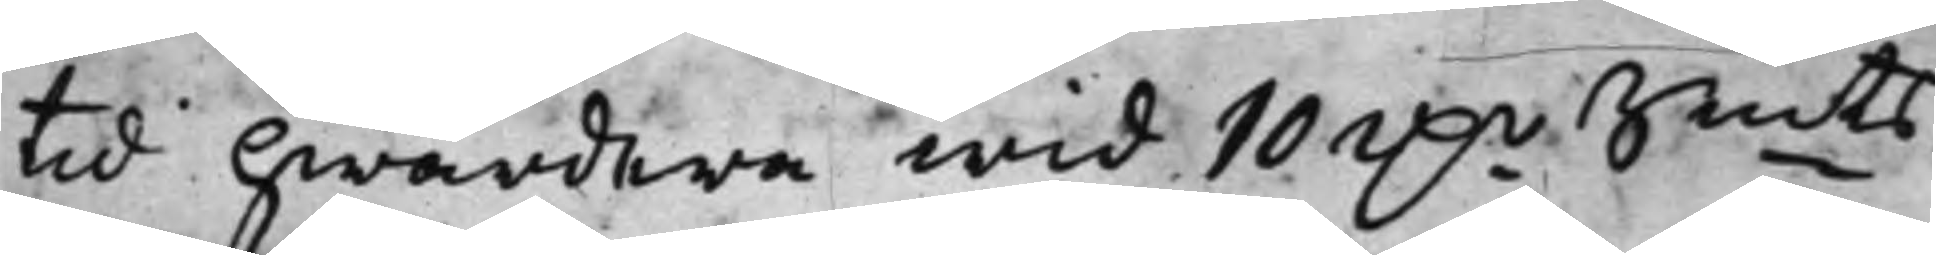tid hwardera wid 10 D.r Smts
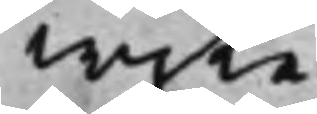wijte.
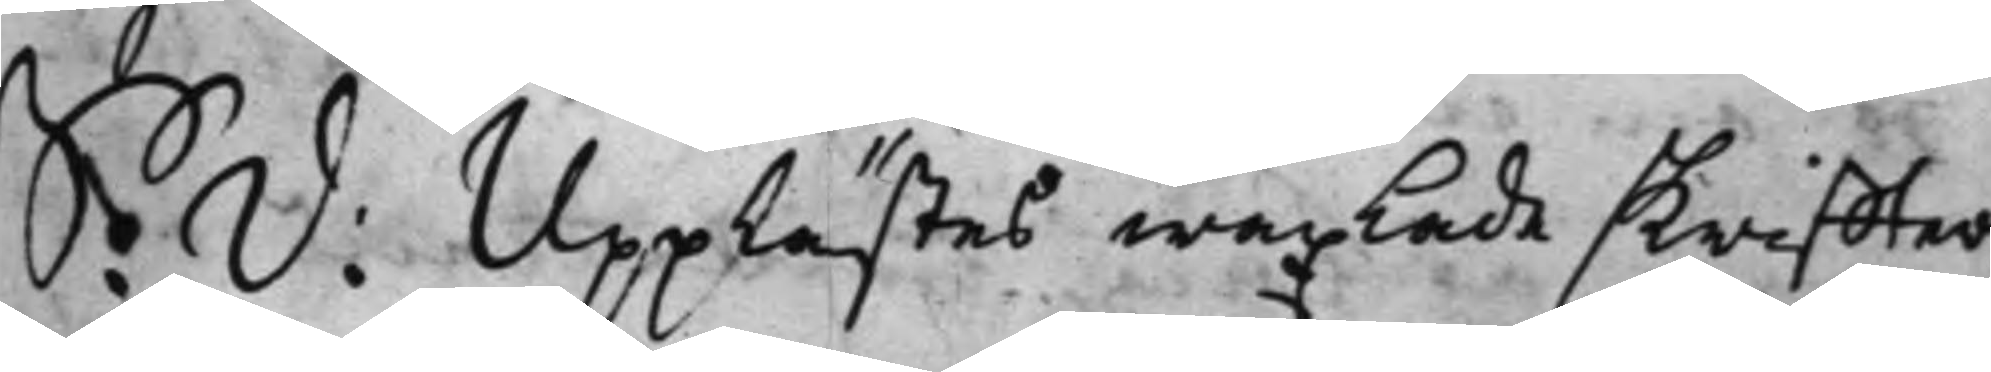S: D:Upplästes wäxlade skriffter
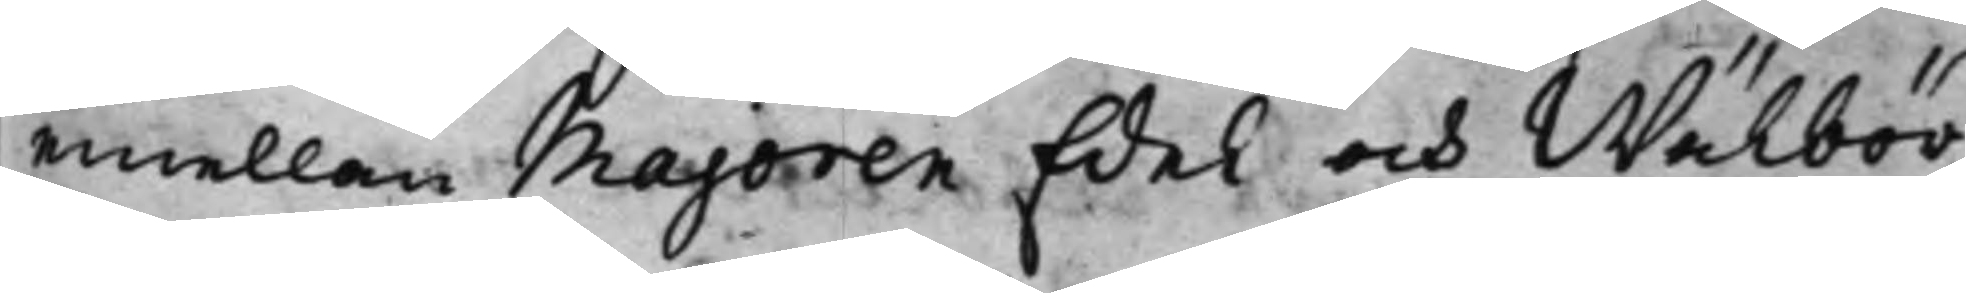emellan Majoren Edel och Wälbör¬
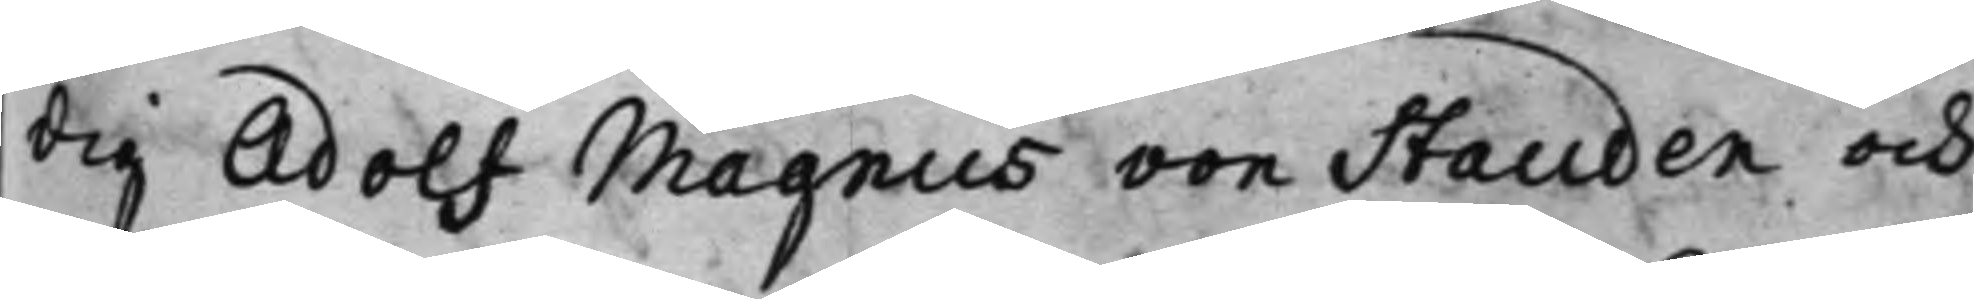dig Adolf Magnus von Stauden och
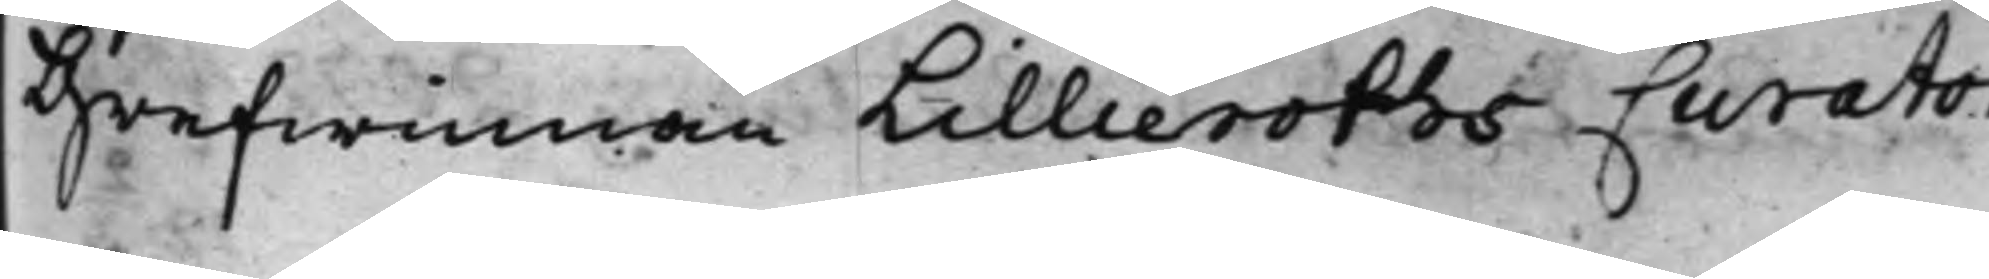Grefwinnan Lillieroths Curator
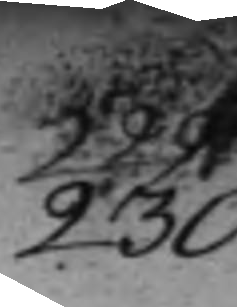230.
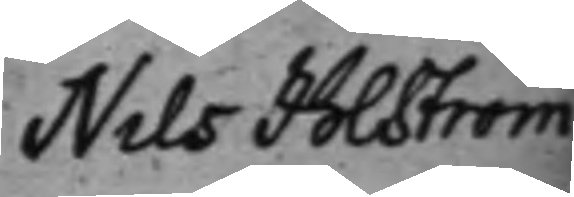Nils Ihlström
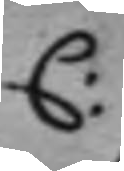C:
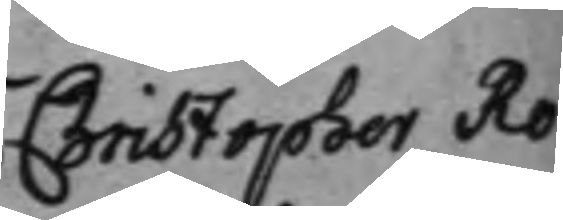Christopher Ro¬
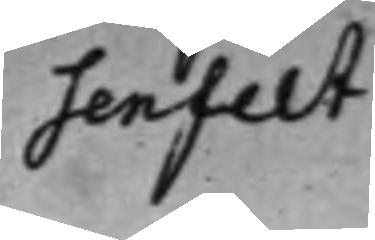senfelt.
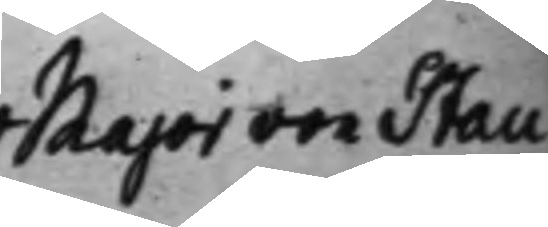Major von Stau¬
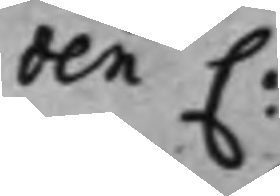den C:
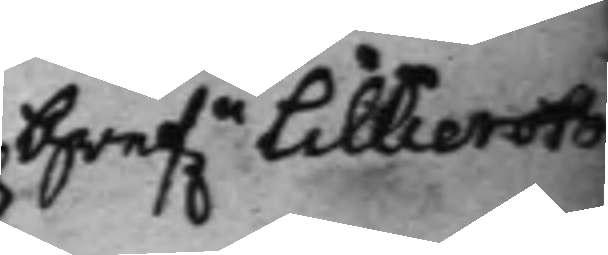Gref.n Lillieroth
